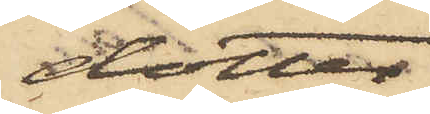dotter
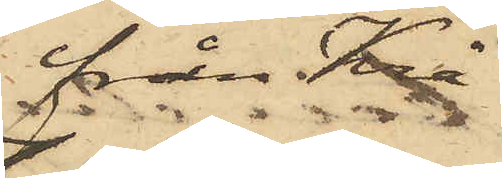från Krå¬
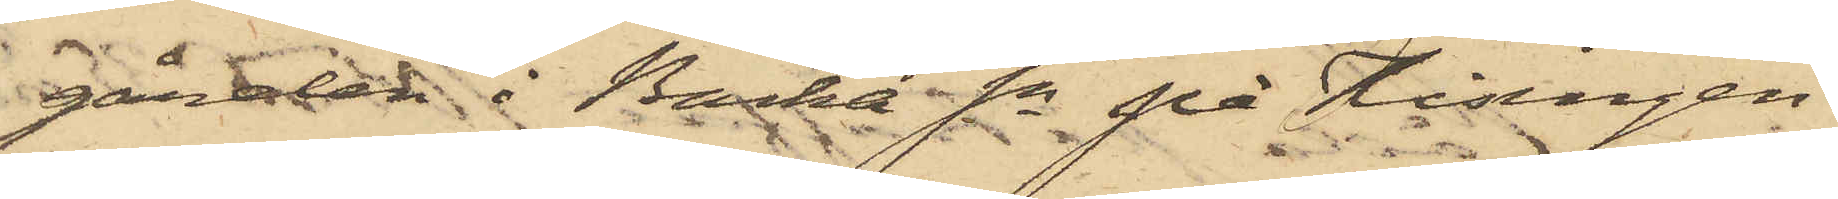gården i Backa Sn på Hisingen
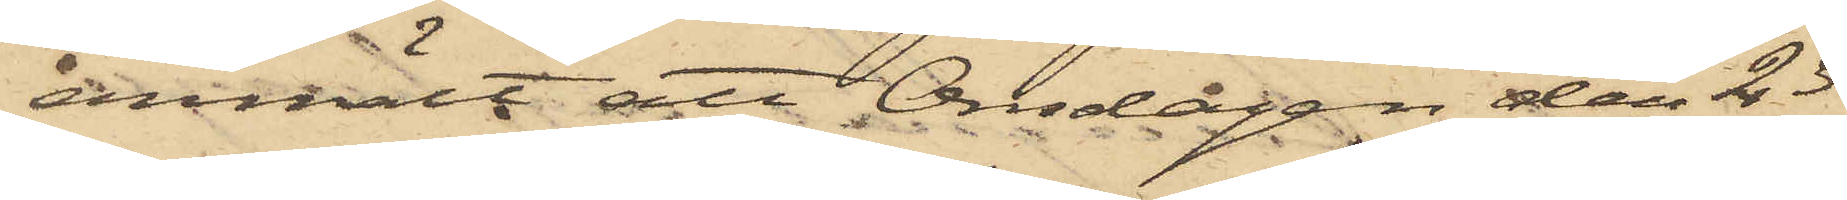anmält att Onsdagen den 23
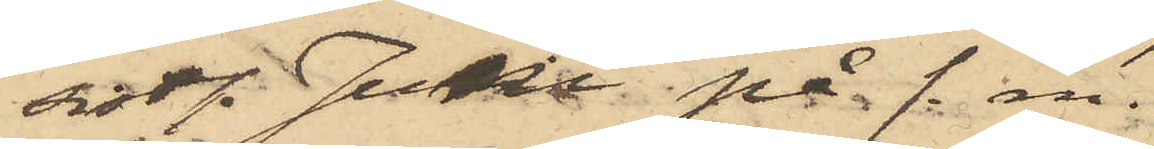sist. Juni på f. m.
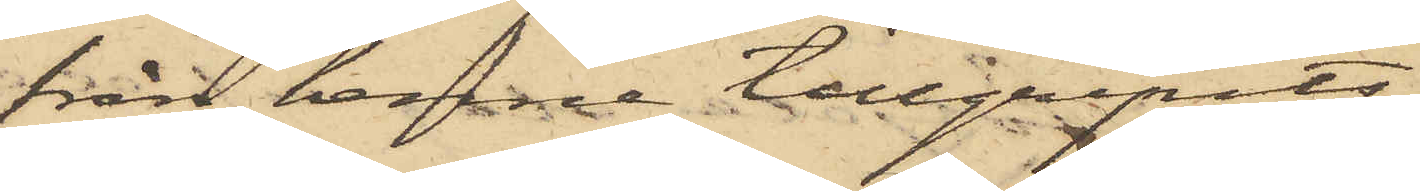från henne tillgripits
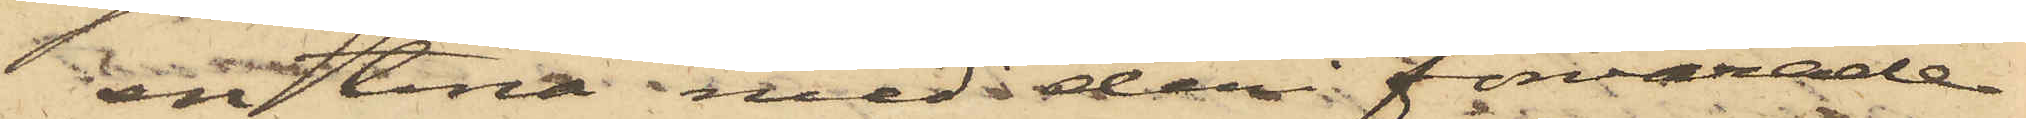en tina med deri förvarade
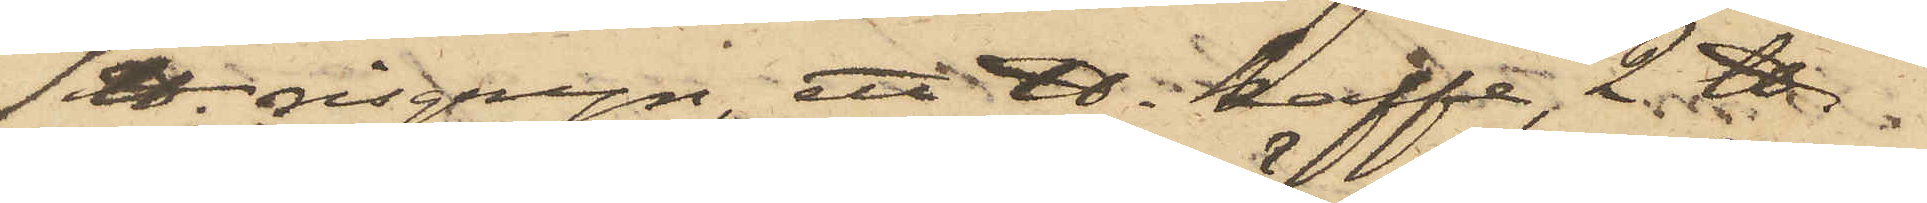1 ℔. risgryn, ett ℔. kaffe, 2 ℔. 
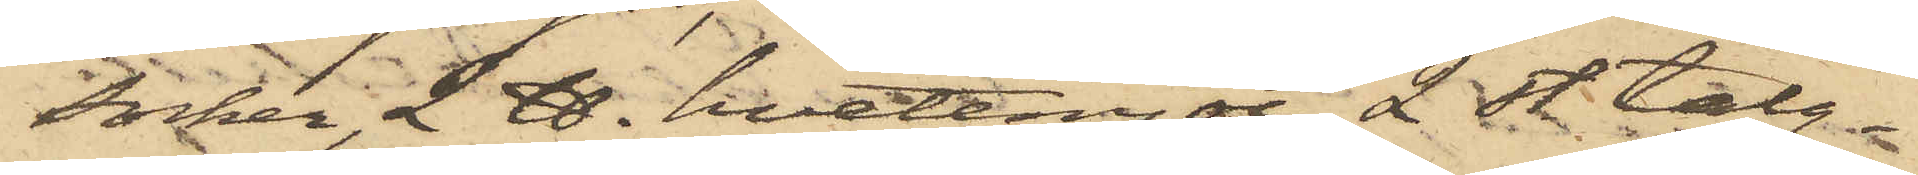socker, 2 ℔. hvetemjöl, 2 st. talg¬
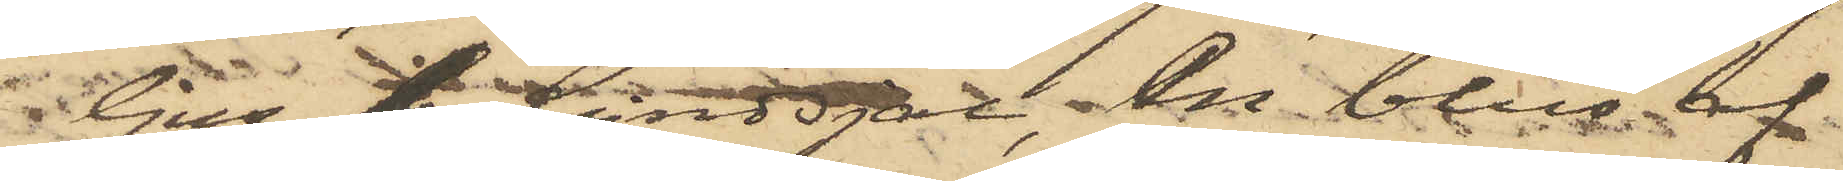ljus, 1 lindsjal, en blus af
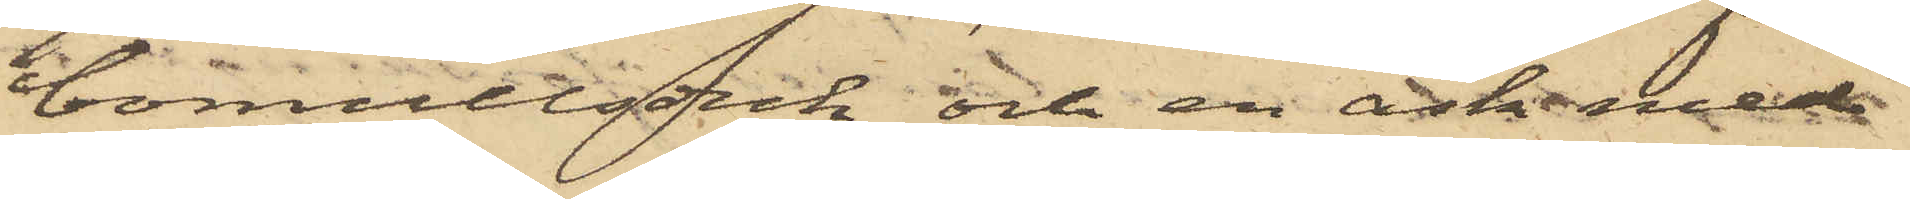bomullsduk och en ask med
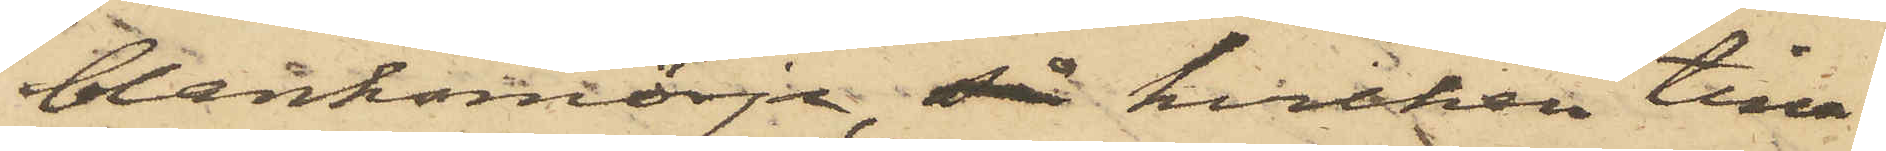blanksmörja,  hvilken tina
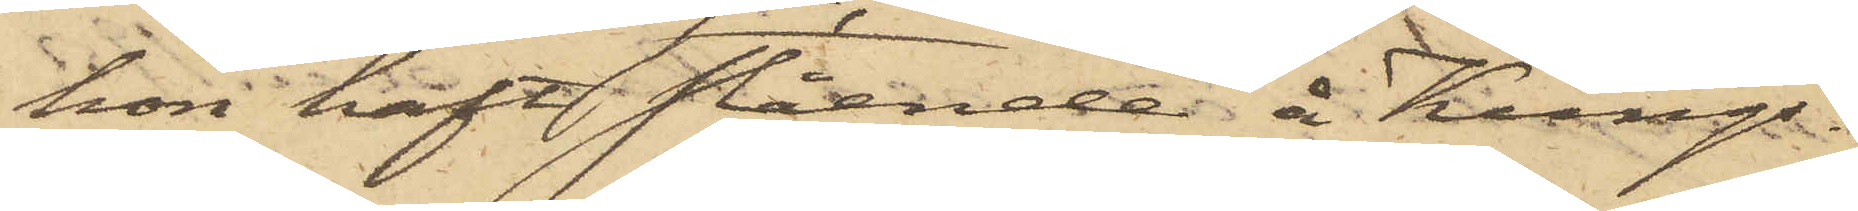hon haft stående å Kungs¬
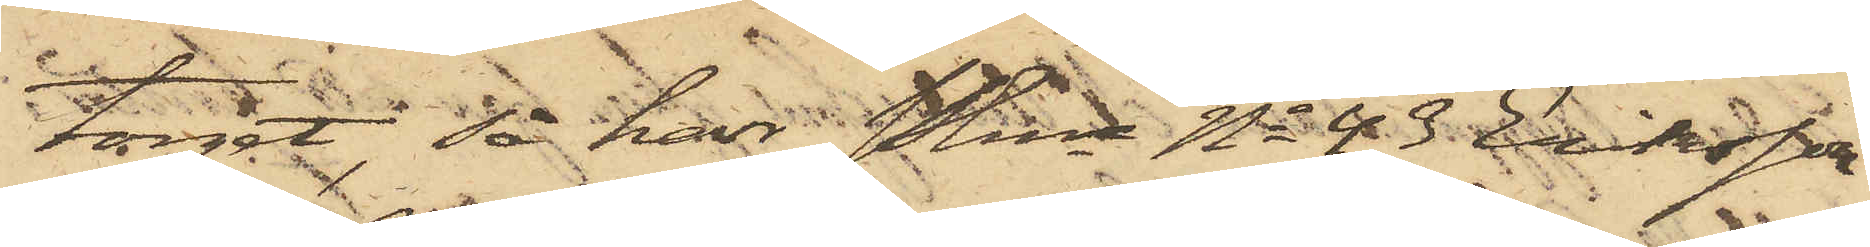torget, så har Pkn No 43 Eriksson
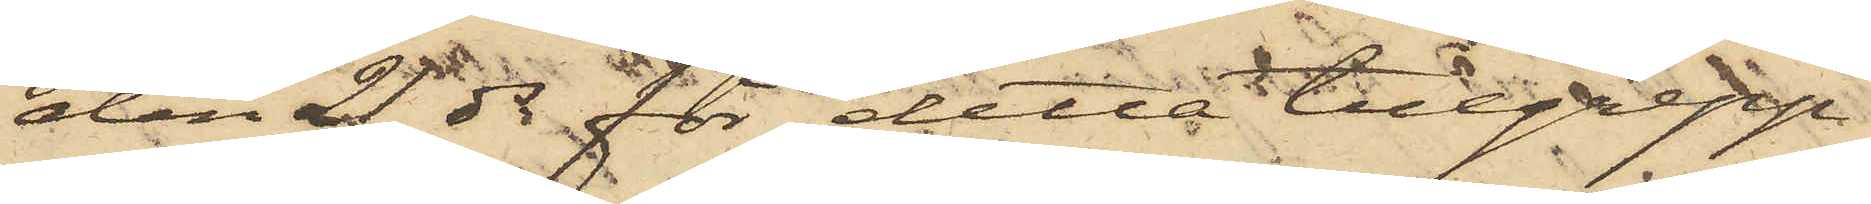 den 21 ds för detta tillgrepp
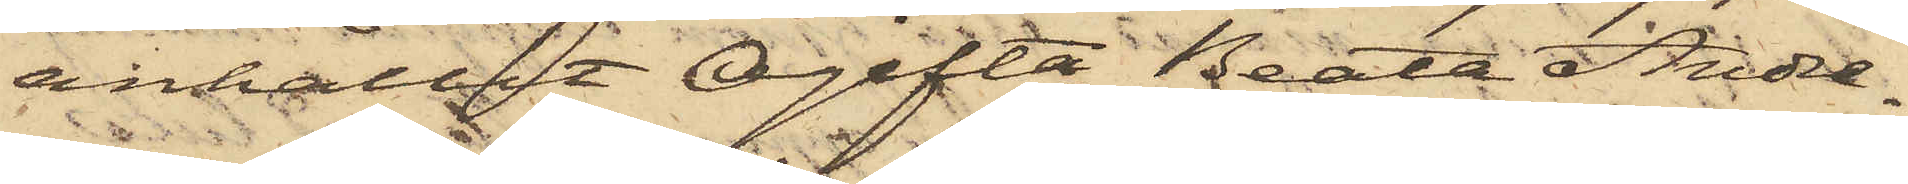anhållit Ogifta Beata Andre¬
